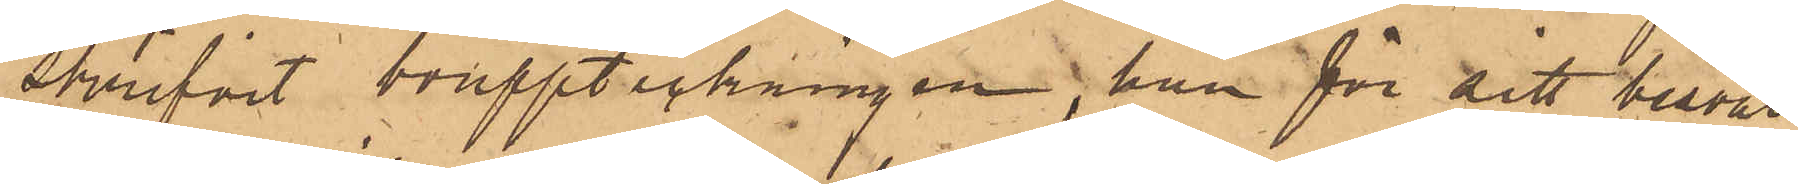skrifvit bouppteckningen, han för sitt besvär
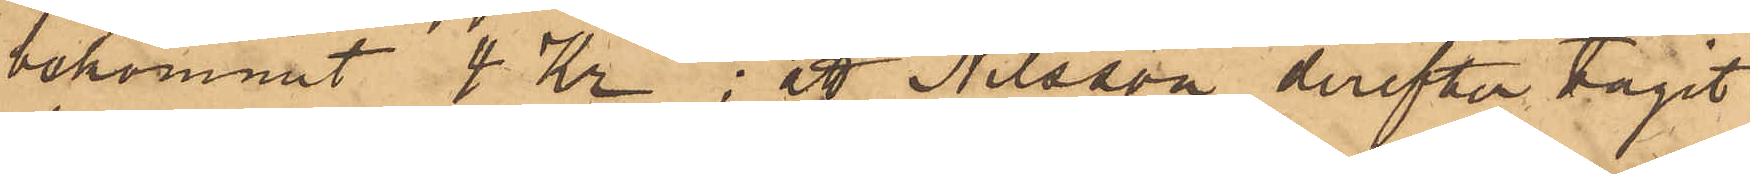bekommit 4 Kr; att Nilsson derefter tagit
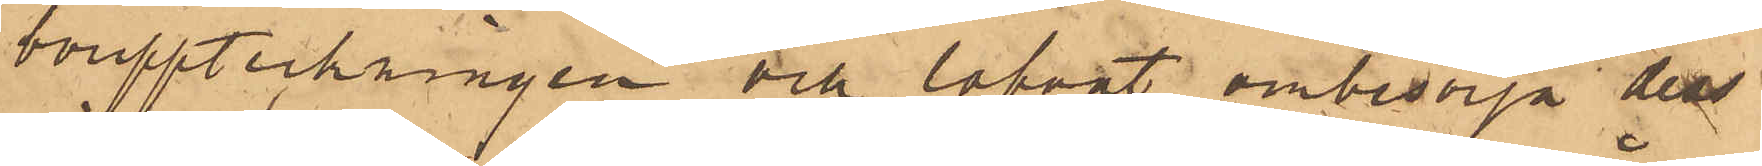bouppteckningen och lofvat ombesörja dess
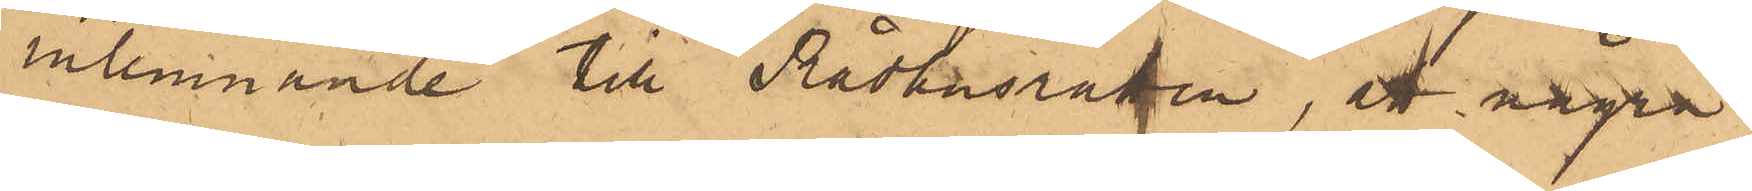inlemnande till Rådhusrätten, att några
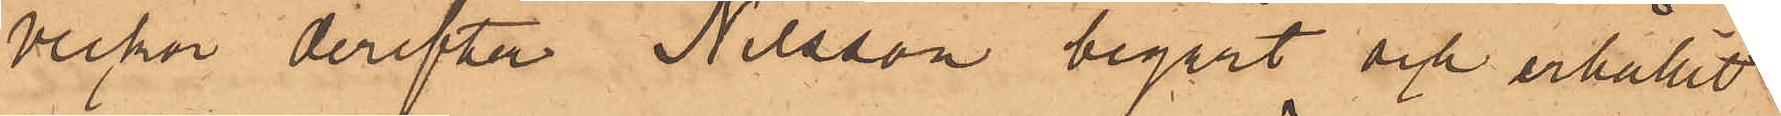veckor derefter Nilsson begärt och erhållit
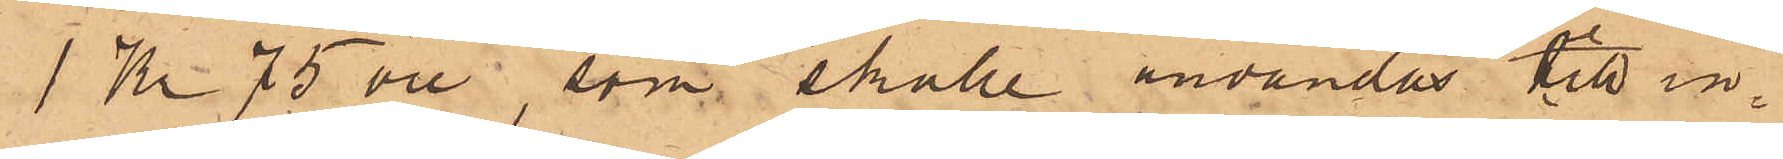1 Kr 75 öre, som skulle användas till in¬
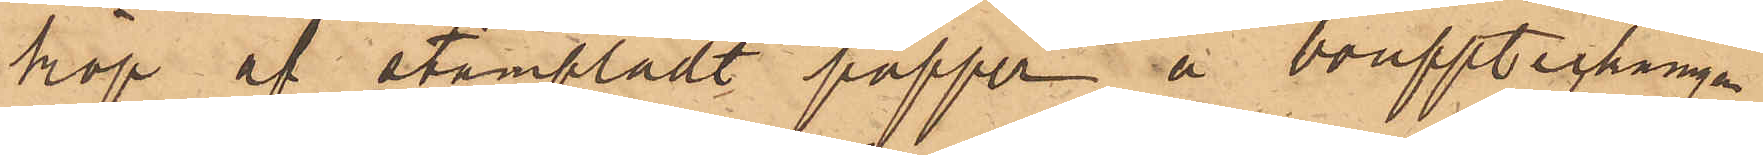köp af stämpladt papper å bouppteckningar
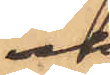ock
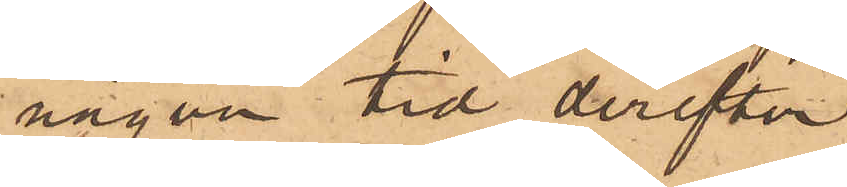någon tid derefter
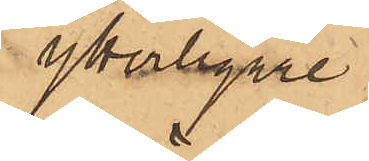ytterligare
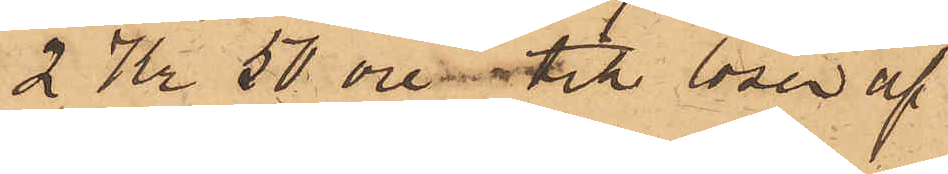2 Kr 50 öre til lösen af
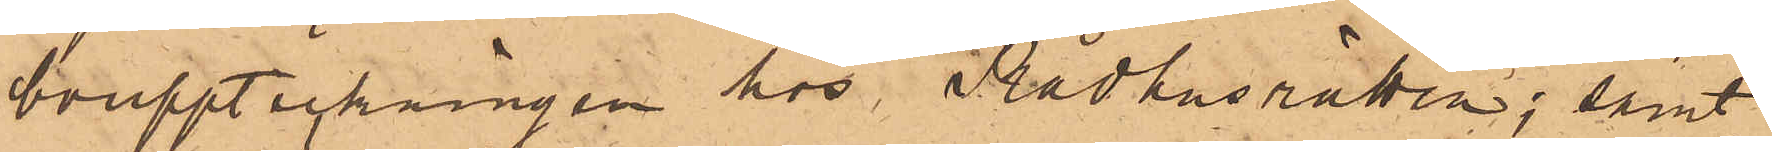bouppteckningen hos Rådhusrätten; samt
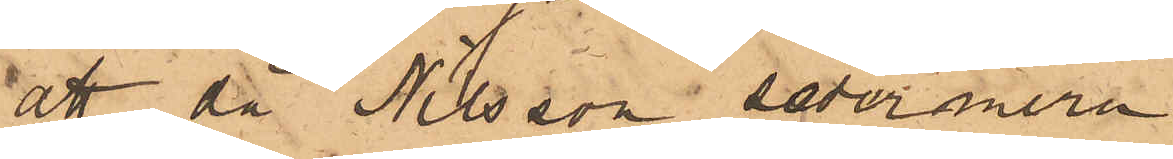att då Nilsson sedermera
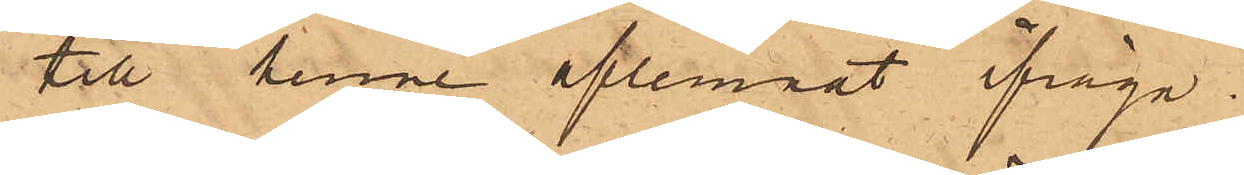till henne aflemnat ifråga¬
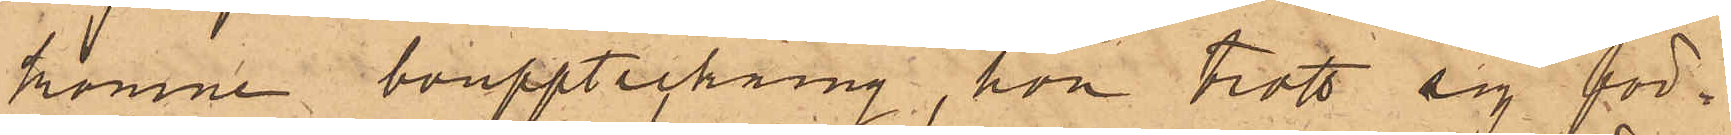komne bouppteckning, hon trott sig för¬
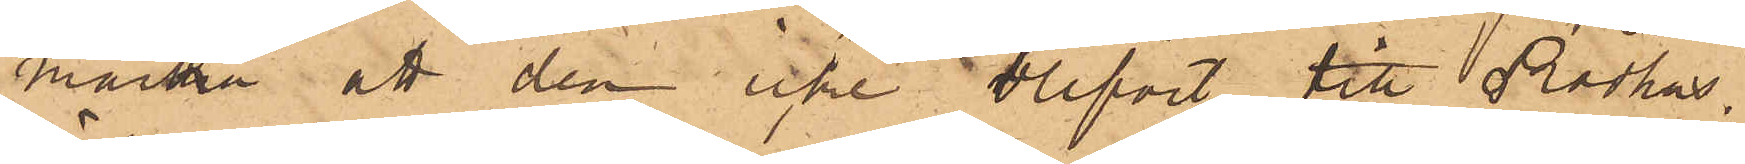märka att den icke blifvit till Rådhus¬
